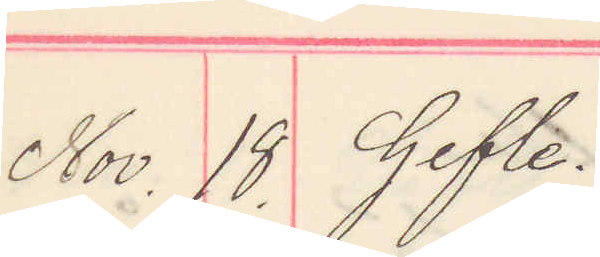Nov. 18. Gefle.
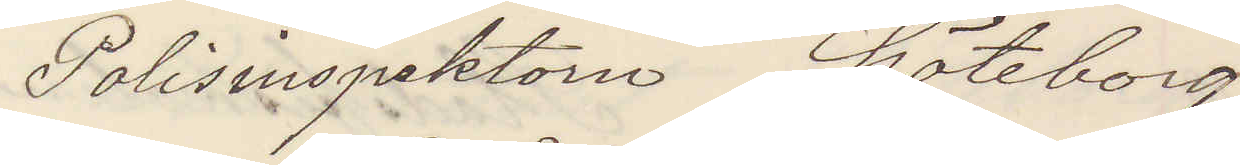Polisinspektorn Göteborg
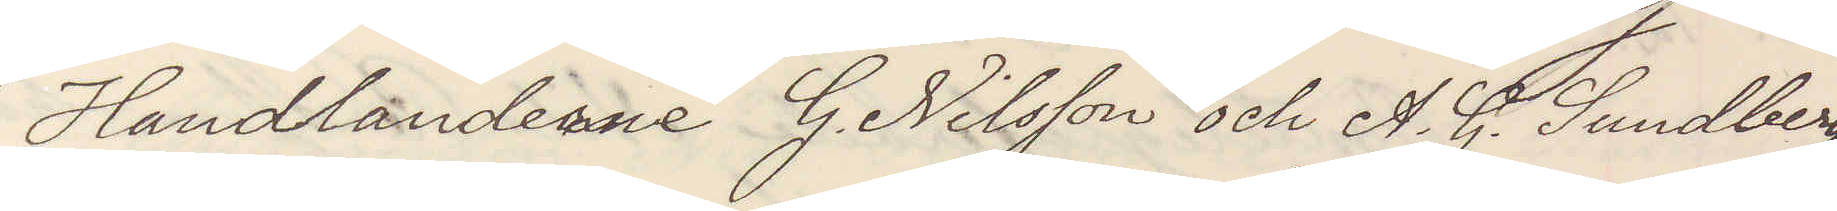Handlarne G. Nilsson och A. G. Sundberg
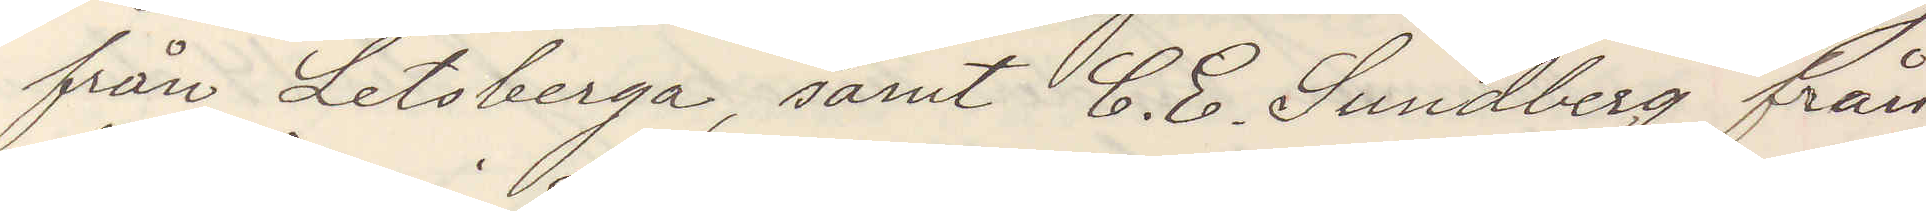från Letsberga samt C. E. Sundberg från
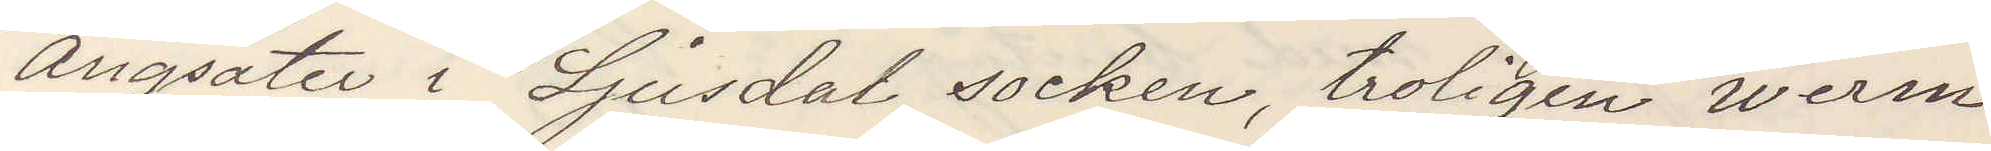Ångsäter i Ljusdal socken, troligen werm¬
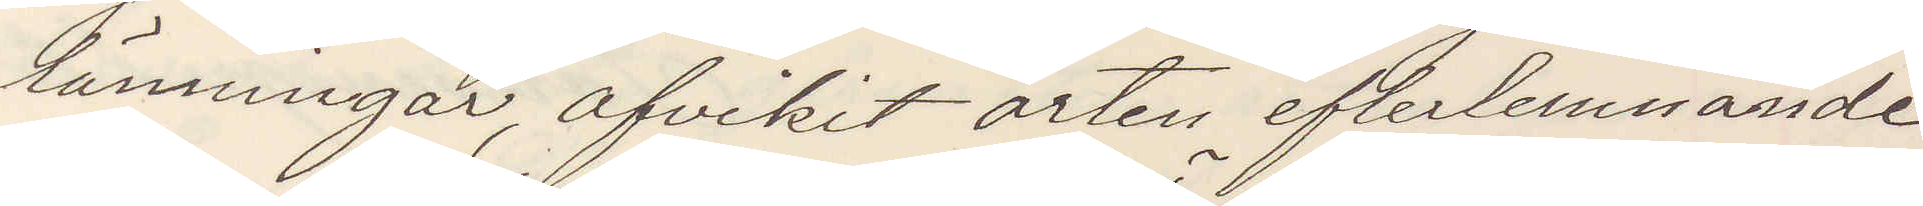länningar, afvikit orten efterlemnande
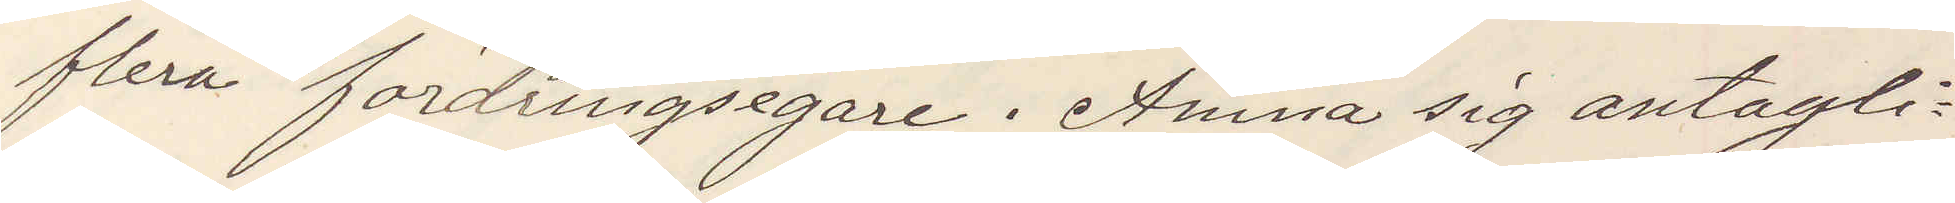flera fordringsegare. Ämna sig antagli¬
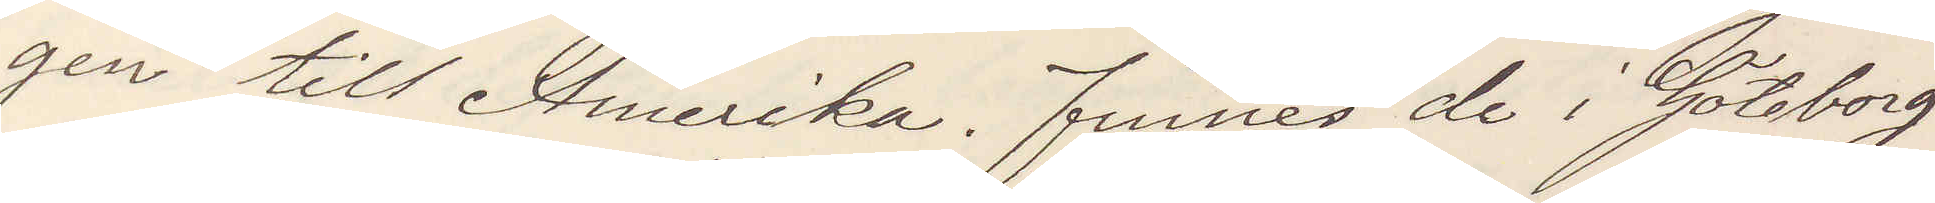gen till Amerika. Finnes de i Göteborg
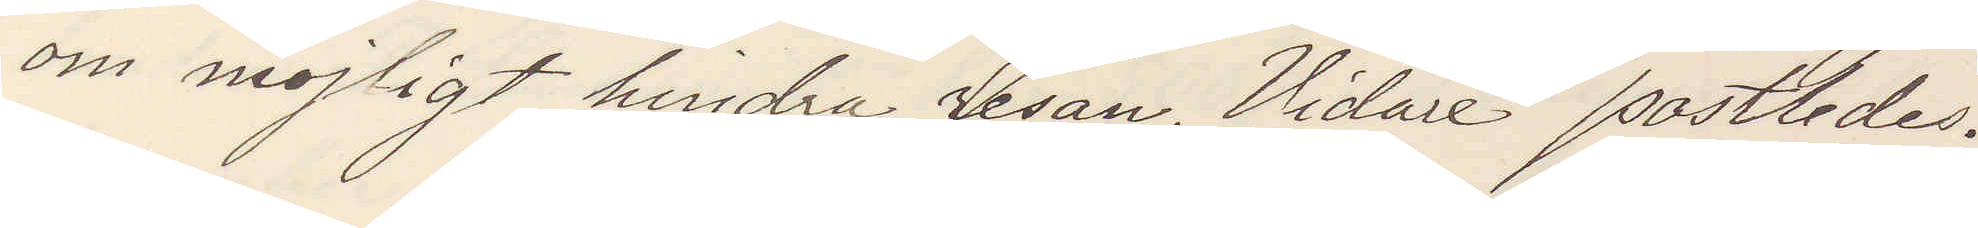om möjligt hindra resan. Vidare postledes.
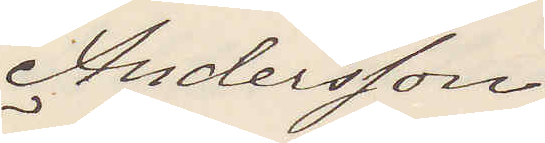Andersson
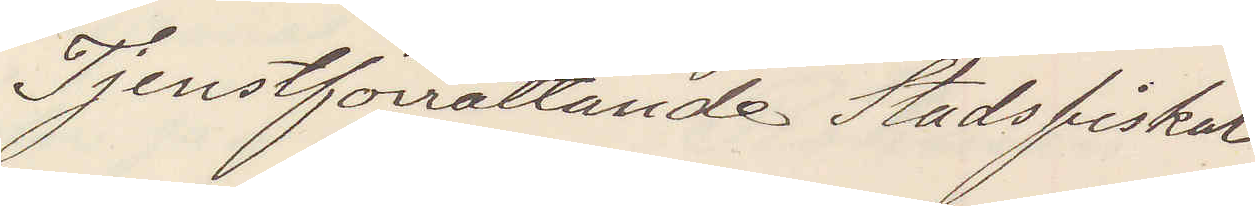Tjenstförrättande Stadsfiskal
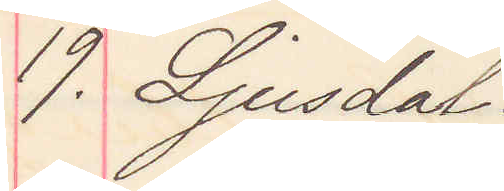19. Ljusdal.
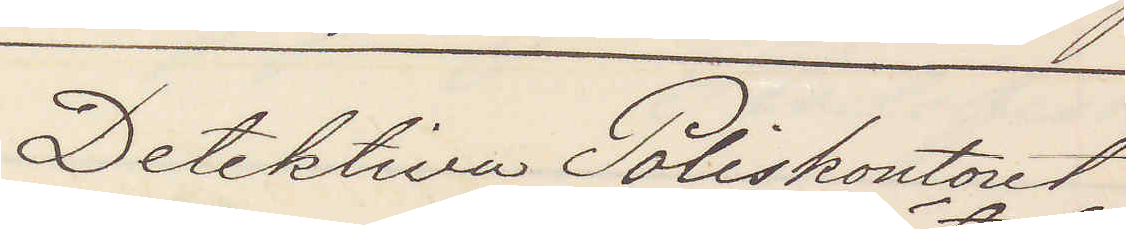Detektiva Poliskontoret
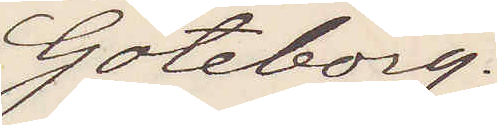Göteborg.
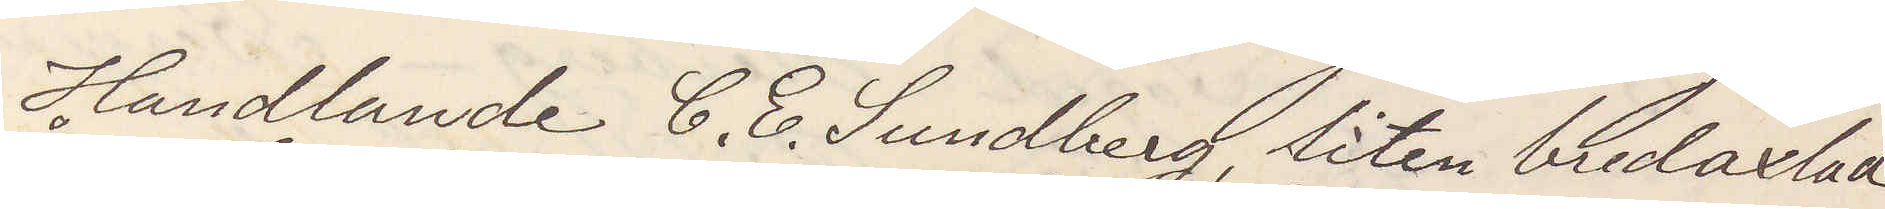Handlande C. E. Sundberg liten bredaxlad
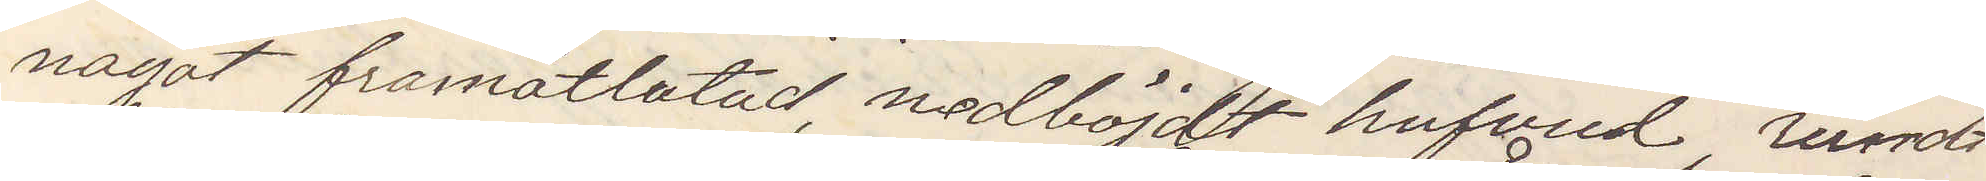något framåtlutad, nedböjdt hufvud, rundt
